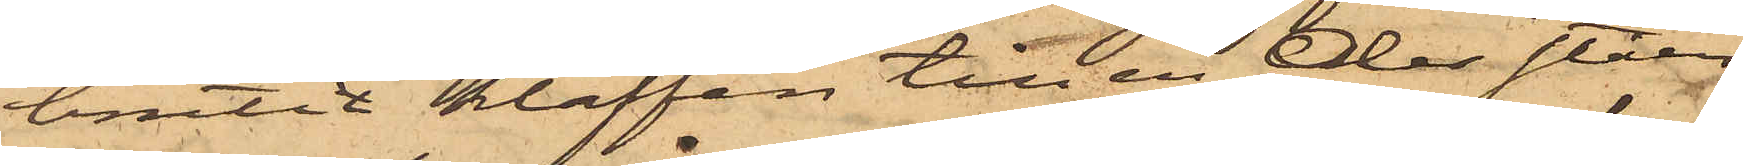brutit klaffen till en der ståen¬
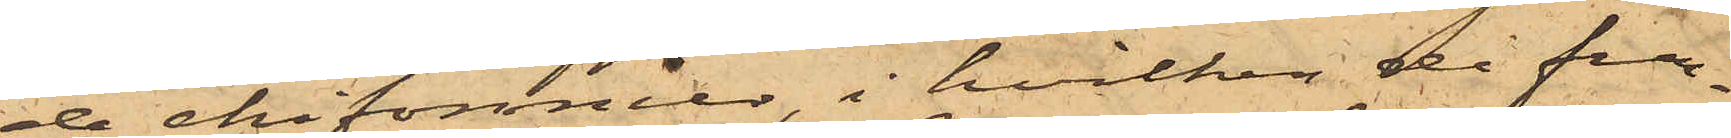de chifonnier, i hvilken då fun¬
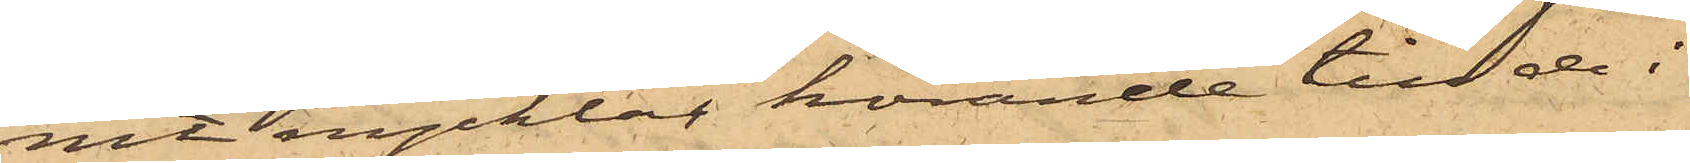nit nycklar hörande till de i
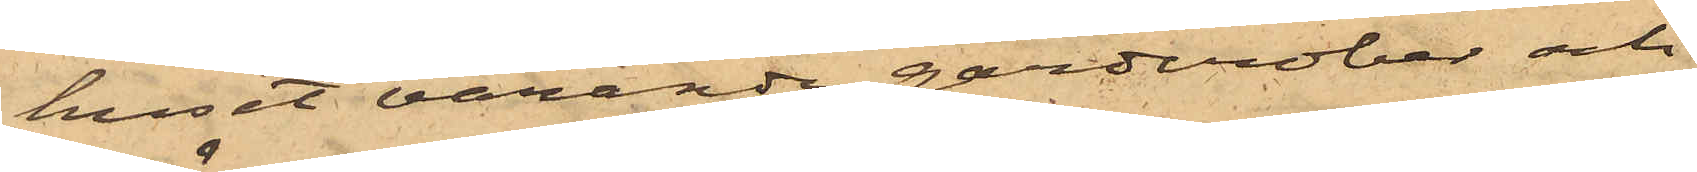huset varande garderober och
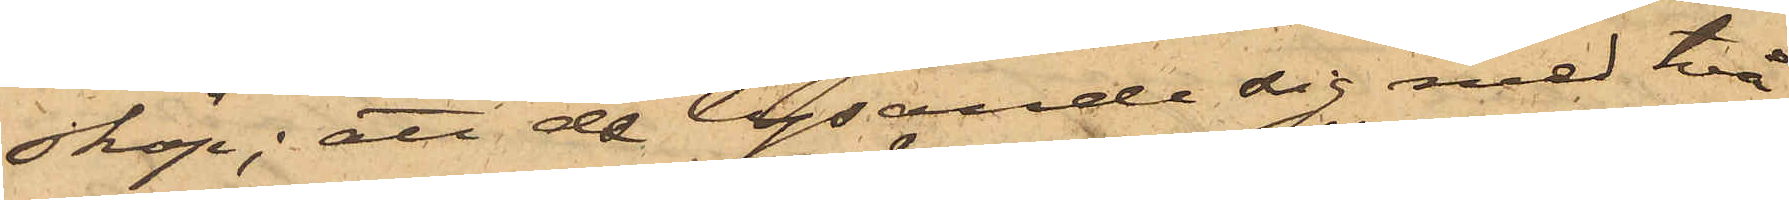skåp; att de lysande sig med två
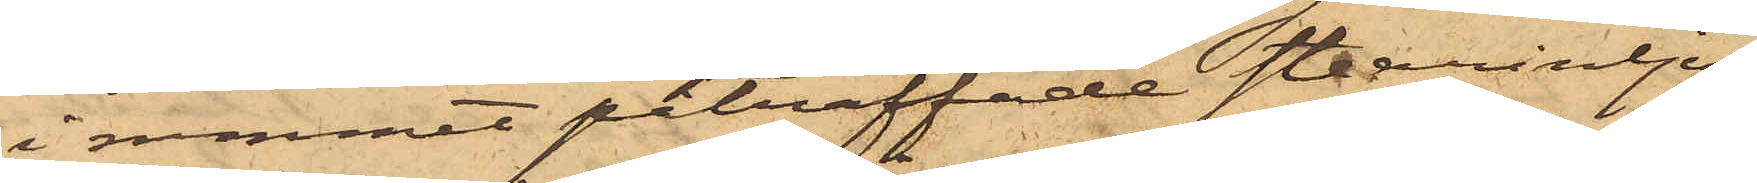i rummet påträffade stearinljus,
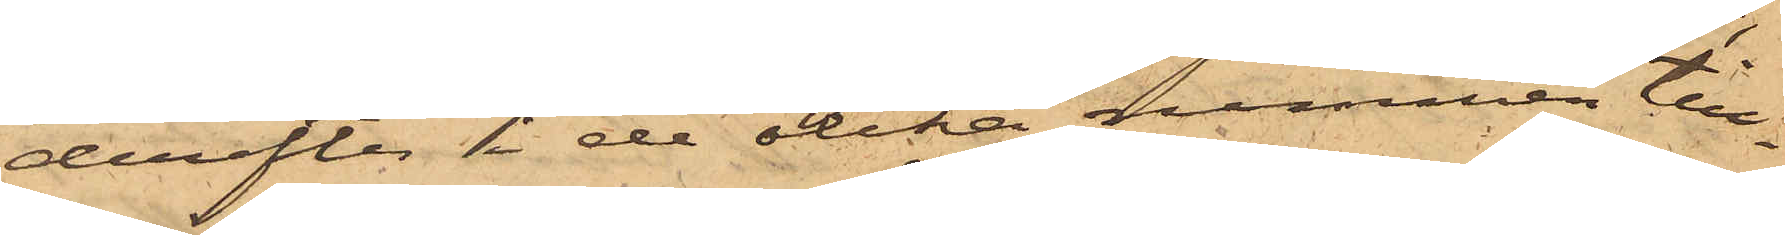derefter i de olika rummen till¬
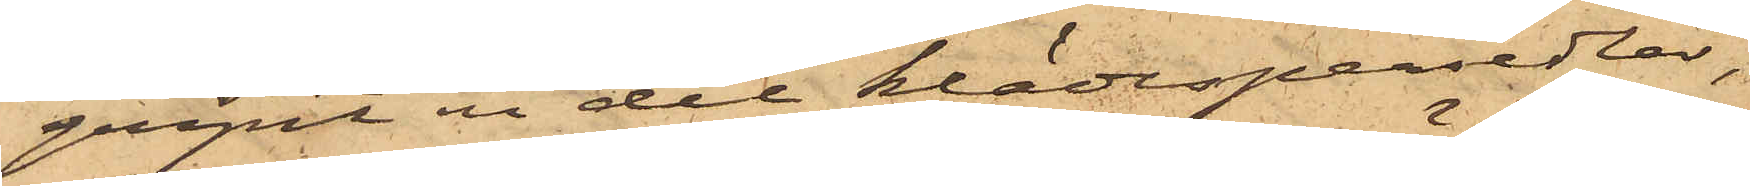gripit en del klädespersedlar,
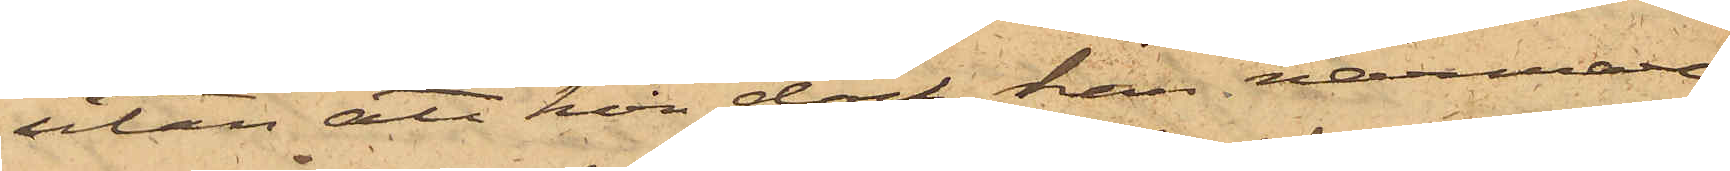utan att hon dock kan närmare
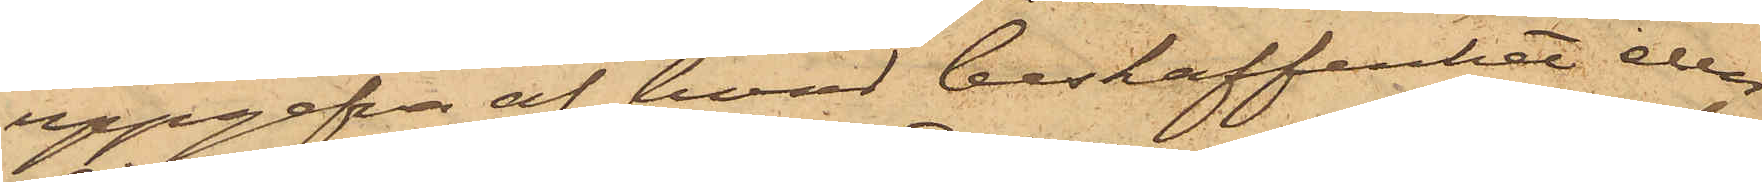uppgifva af hvad beskaffenhet eller
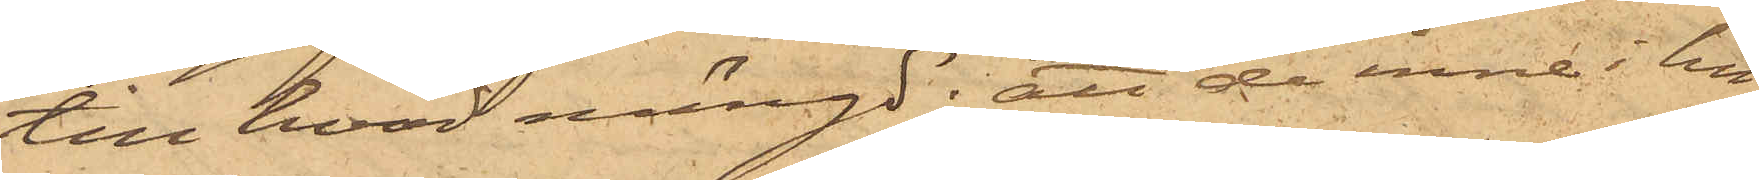till hvad mängd; att de inne i hu¬
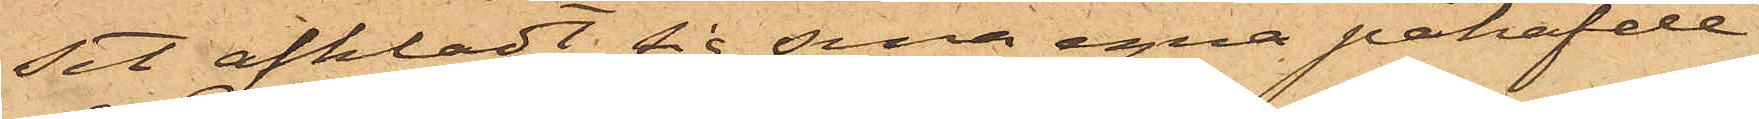set afklädt sig sina egna påhafde
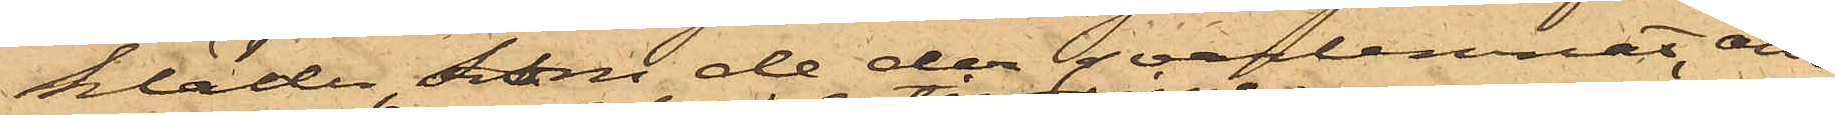kläder, som de der qvarlemnat och
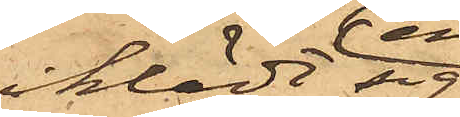iklädt sig
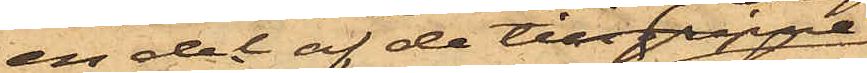en del af de tillgripne,
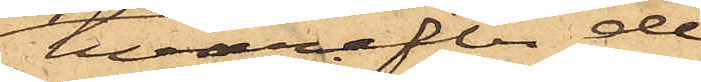hvarefter de
